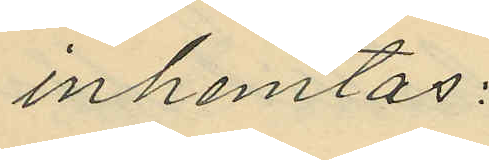inhemtas:
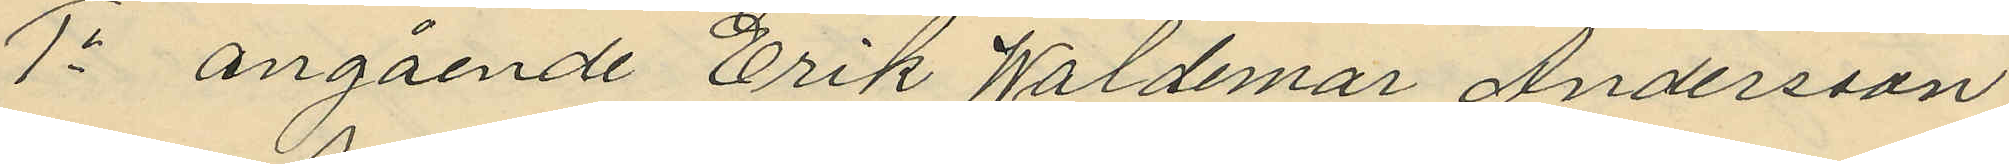1o angående Erik Waldemar Andersson
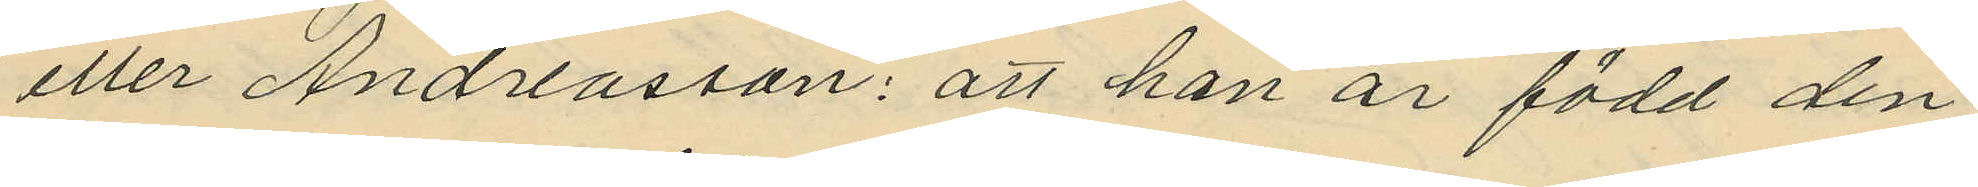eller Andreasson: att han är född den
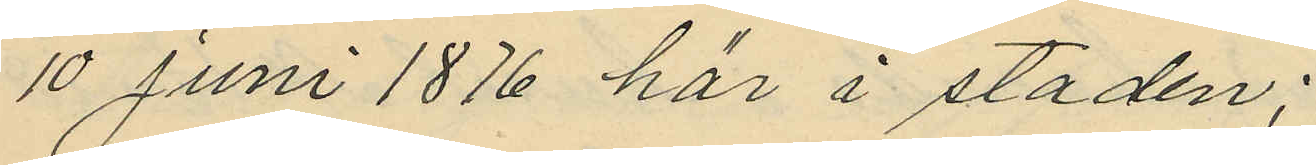10 Juni 1876 här i staden;
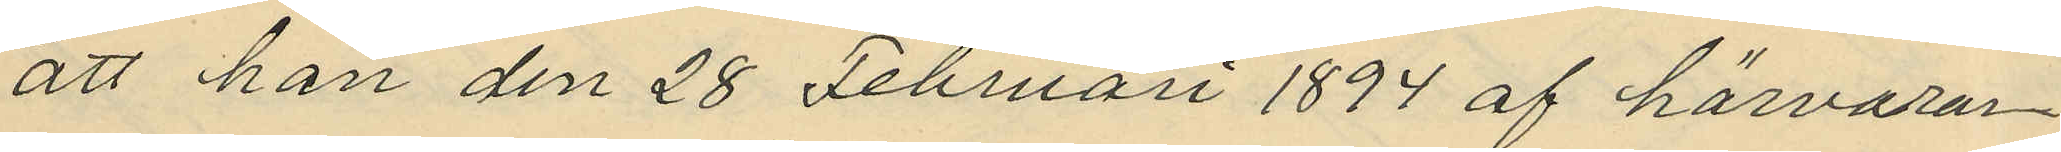att han den 28 Februari 1894 af härvarar¬
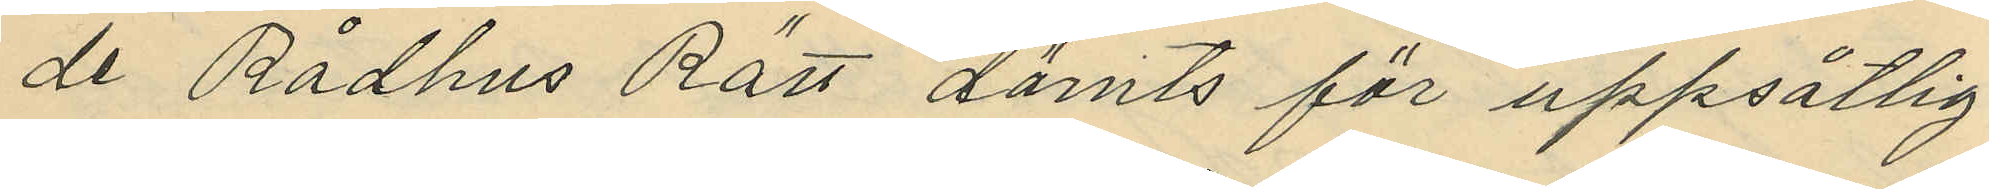de Rådhus Rätt dömts för uppsåtlig
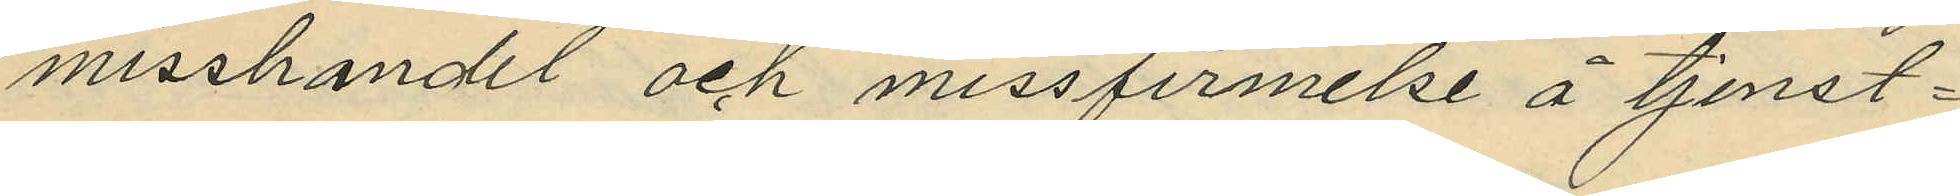misshandel och missfirmelse å tjenst¬
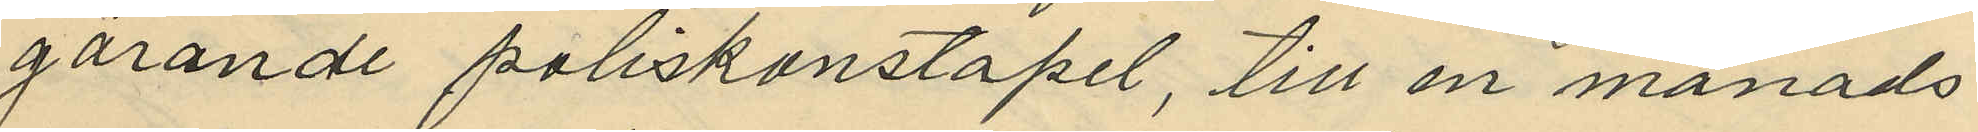görande poliskonstapel, till en månads
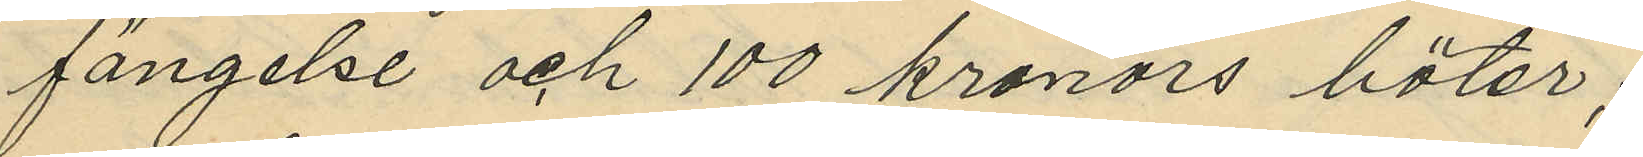fängelse och 100 kronors böter;
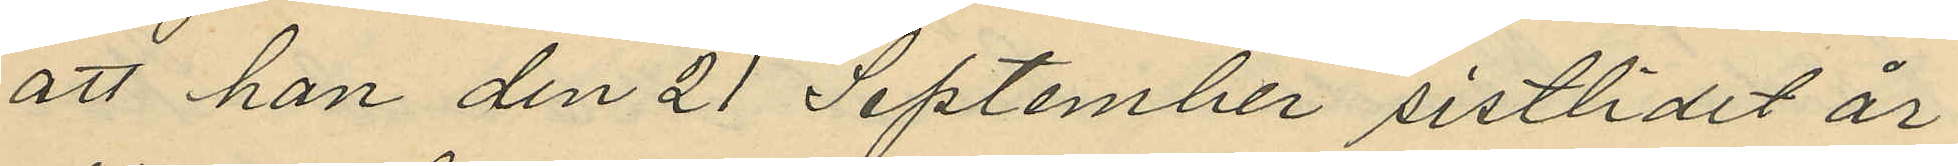att han den 21 September sistlidet år
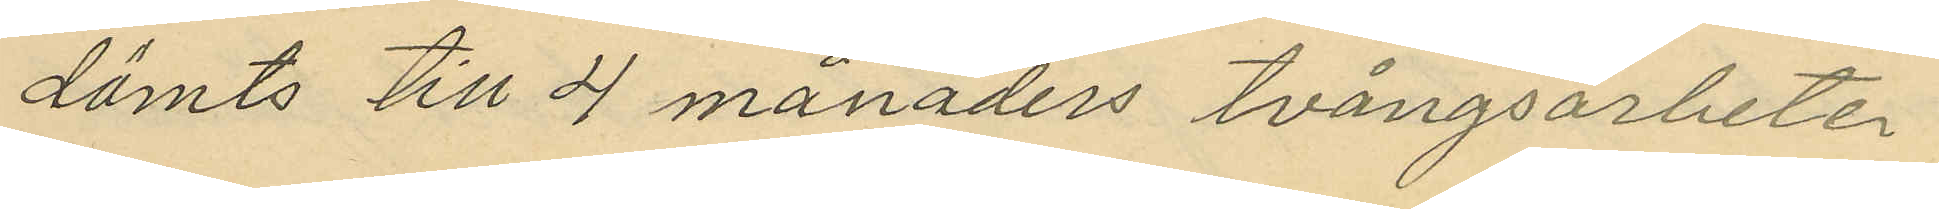dömts till 4 månaders tvångsarbete
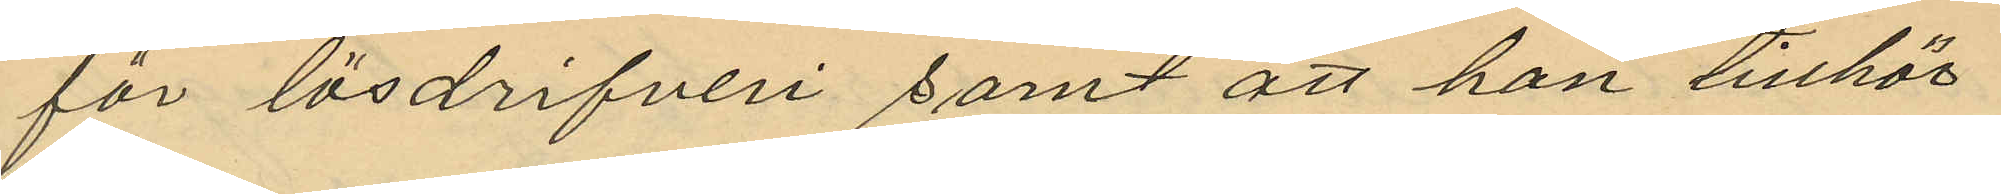för lösdrifveri samt att han tillhör
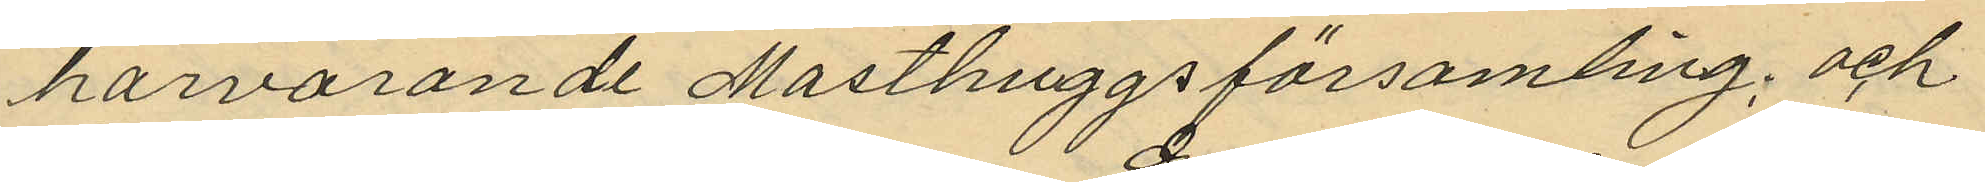härvarande Masthuggsförsamling; och
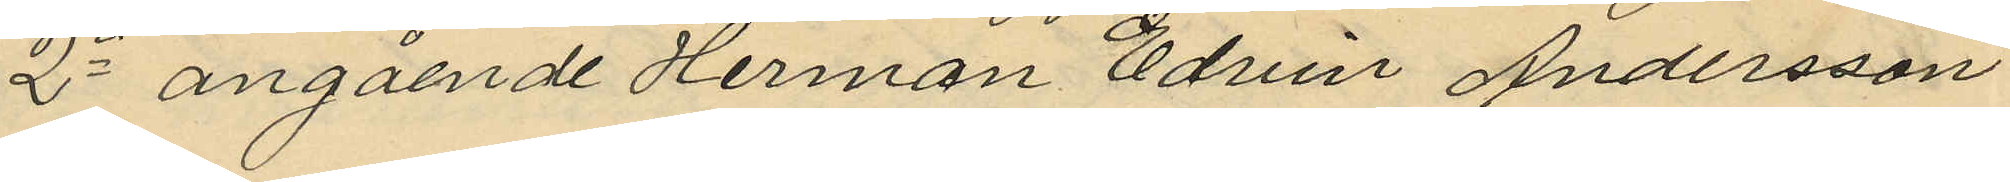2o angående Herman Edvin Andersson
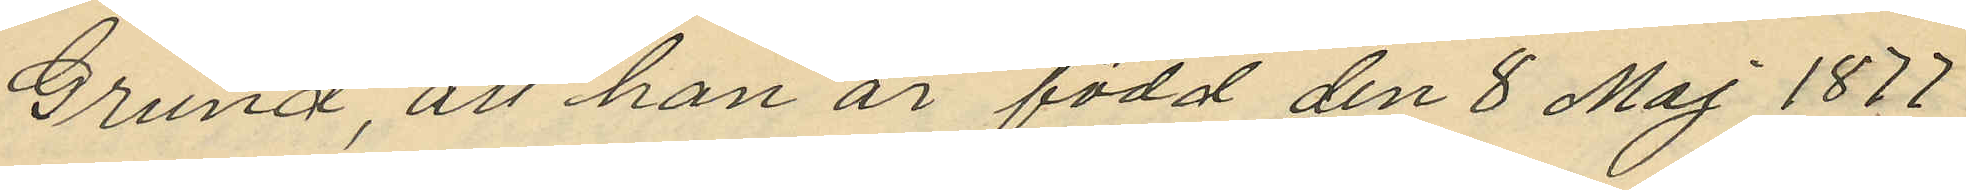Grund, att han är född den 8 Maj 1877.
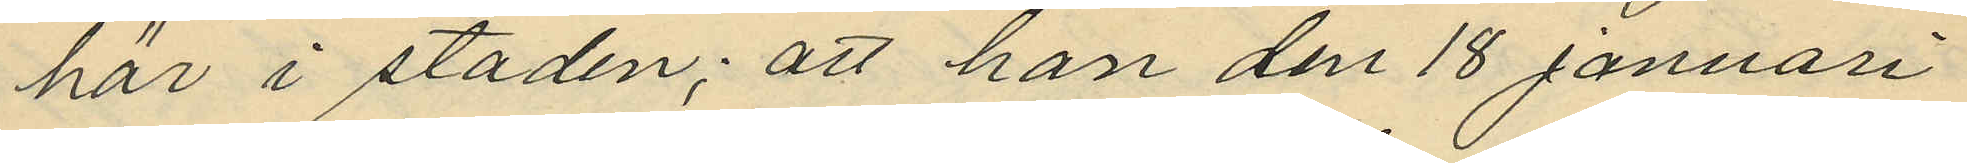här i staden; att han den 18 Januari
